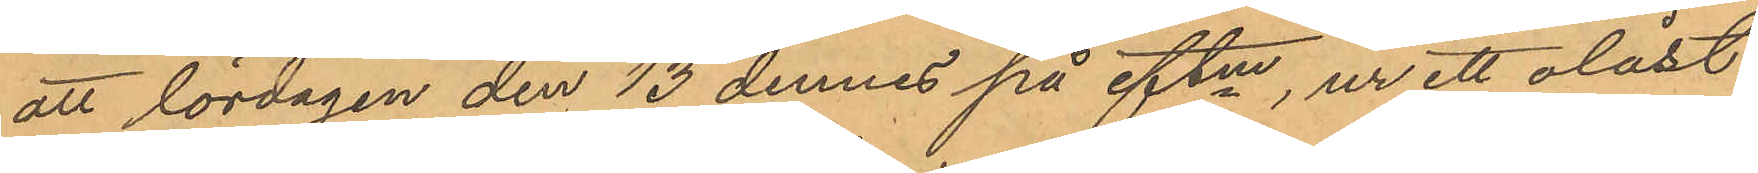att lördagen den 13 dennes på eftm, ur ett olåst
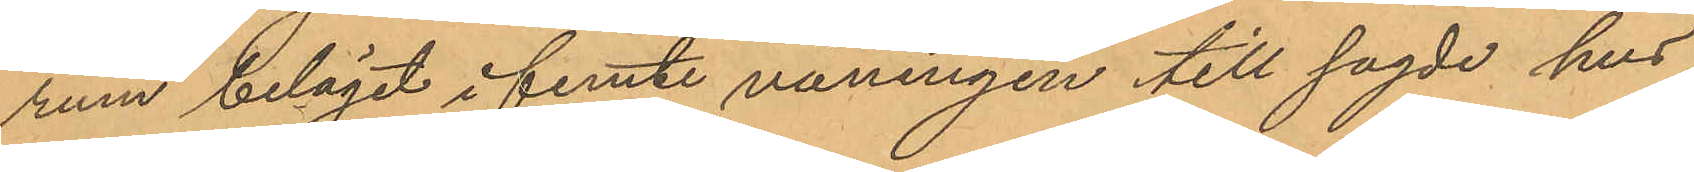rum beläget i femte våningen till sagde hus
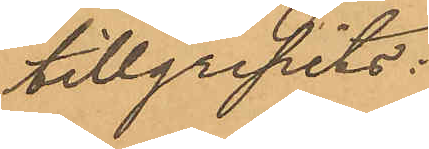tillgripits:
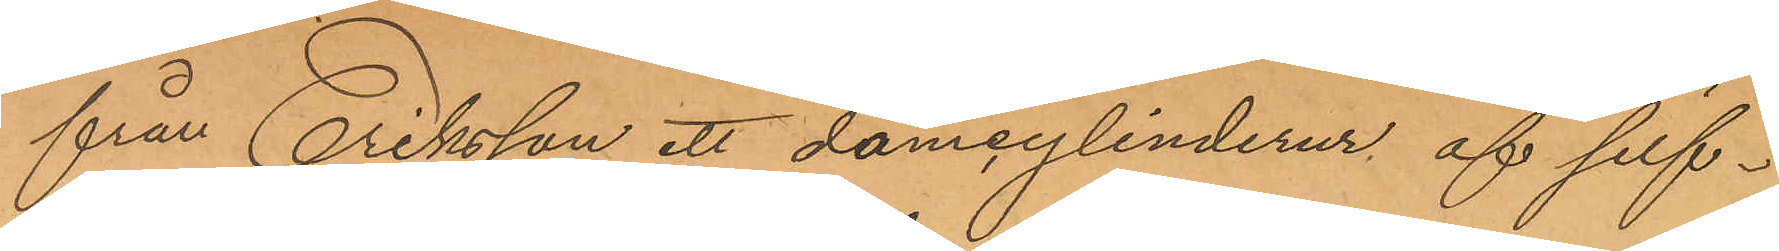från Eriksson ett damcylinderur af silf¬
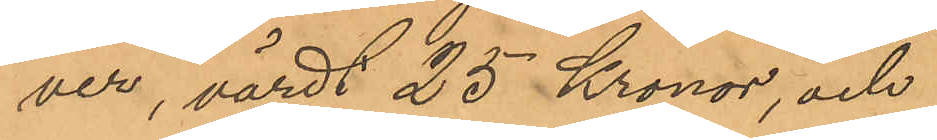ver, värdt 25 Kronor, och
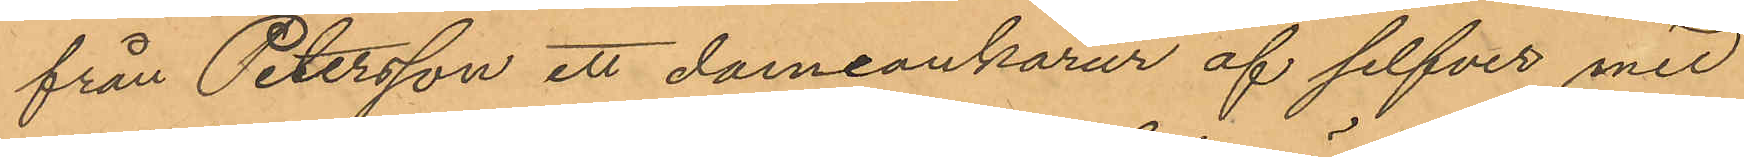från Petersson ett dameankarur af silfver med
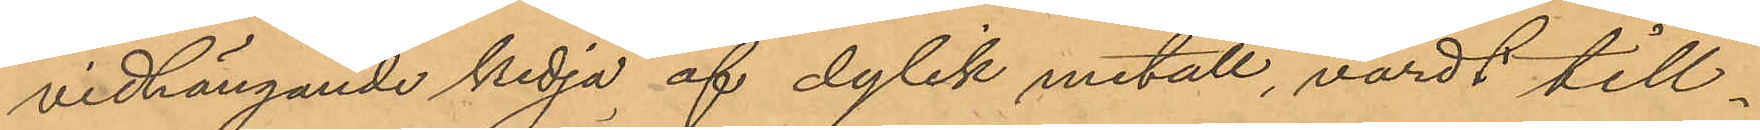vidhängande kedja af dylik metall, värdt till¬
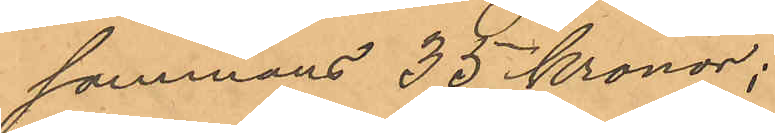sammans 35 kronor;
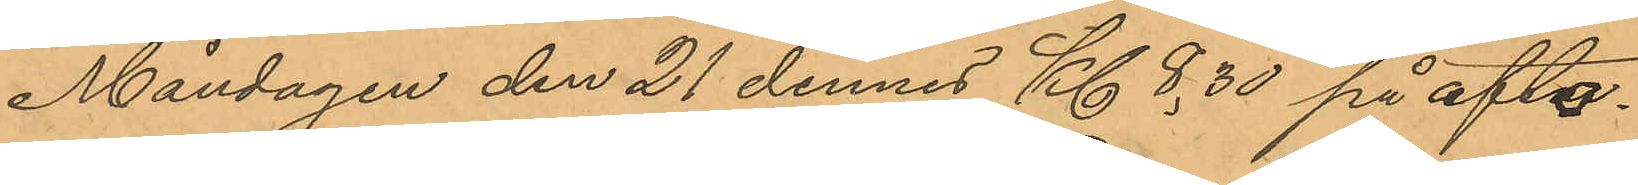Måndagen den 21 dennes Kl 8,30 på afto¬
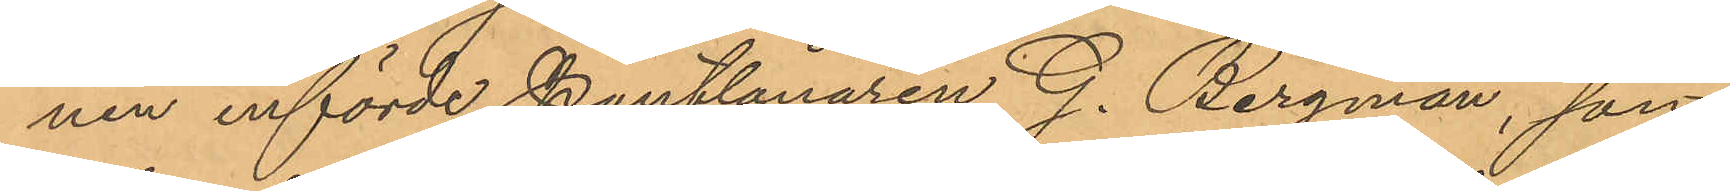nen införde Pantlånaren G. Bergman, som
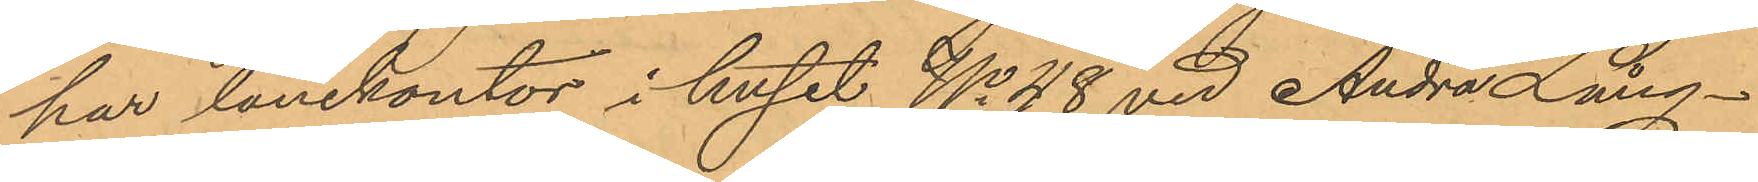har lånekontor i huset No 48 vid Andra Lång¬
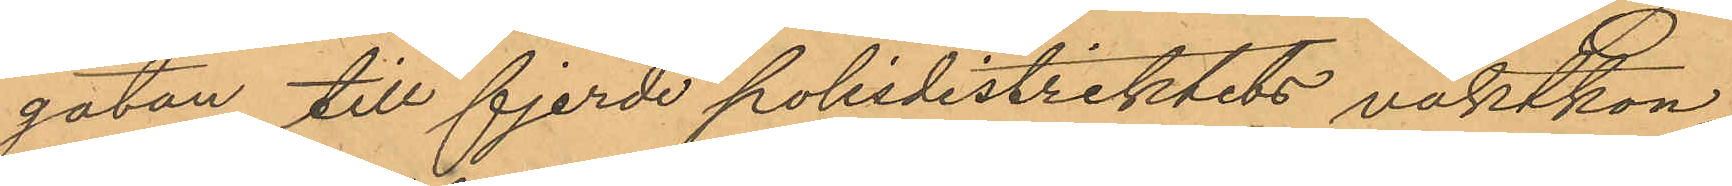gatan till fjerde polisdistriktets vaktkon¬
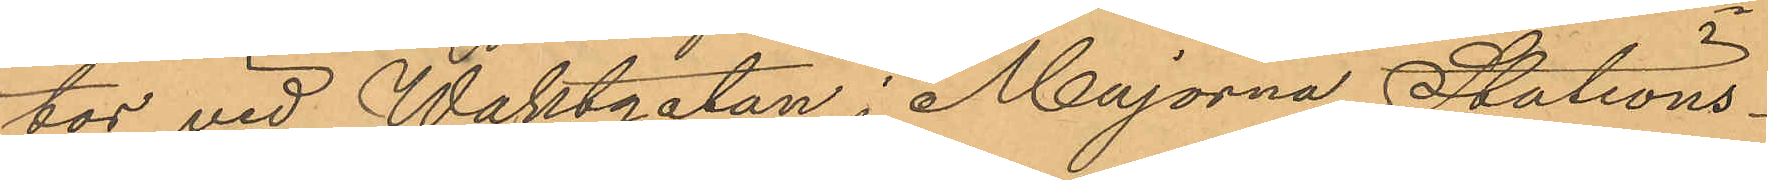tor vid Waktgatan i Majorna, Stations¬
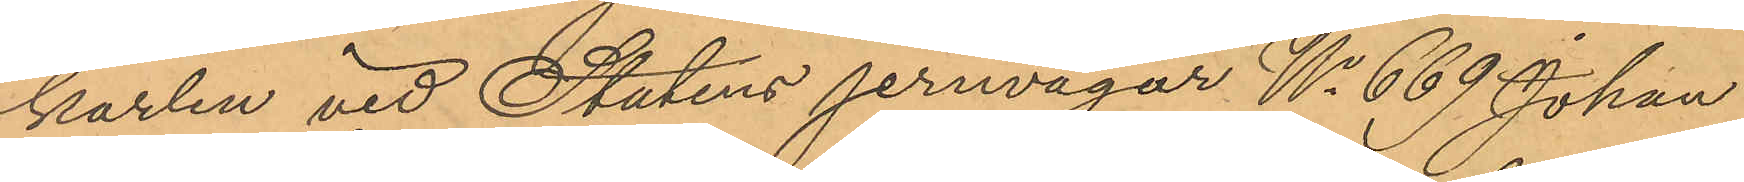karlen vid Statens jernvägar No 669 Johan
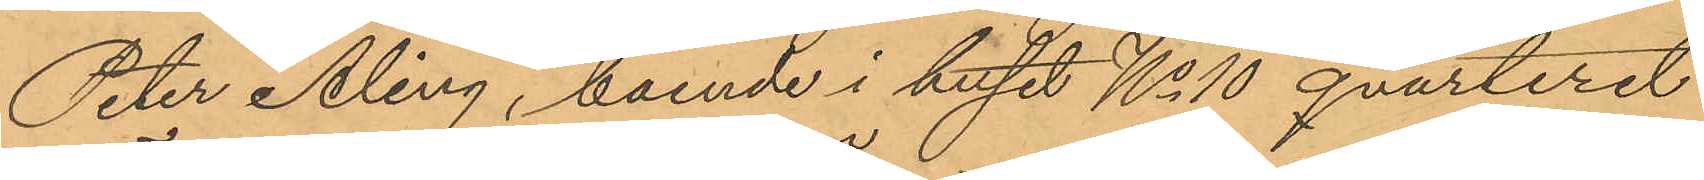Peter Åling, boende i huset No 10 qvarteret
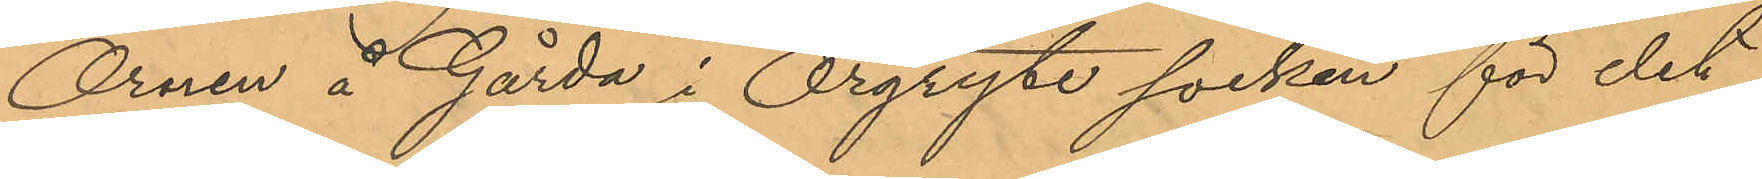Örnen i Gårda i Örgryte socken för det
